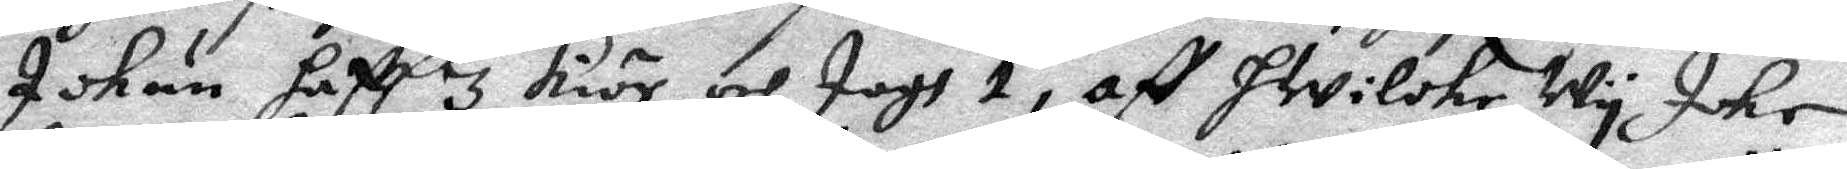Ickun hafft 3 kiör och Jagh 1, aff Hwilke Wy icke
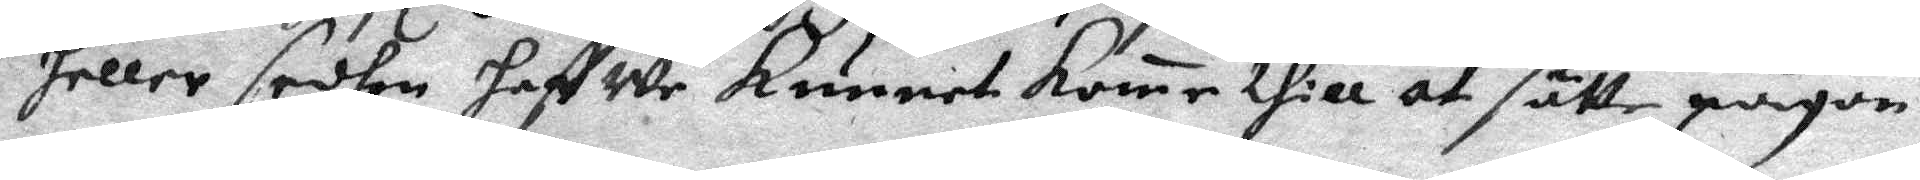heller sedhan haffwe kunnet kome thill at sätte någon
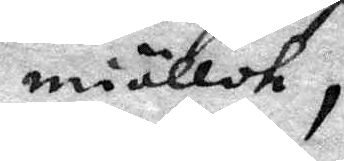miöllck,
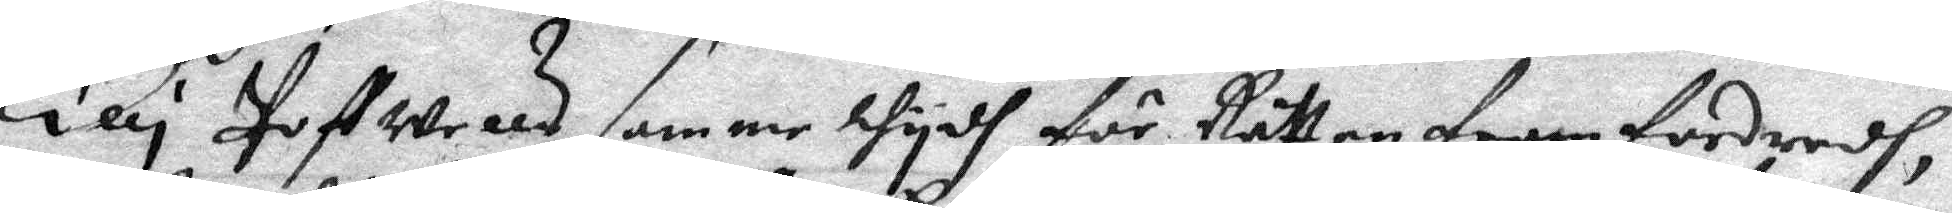Elli Poffwells samme thydh för Rätten framfordradh,
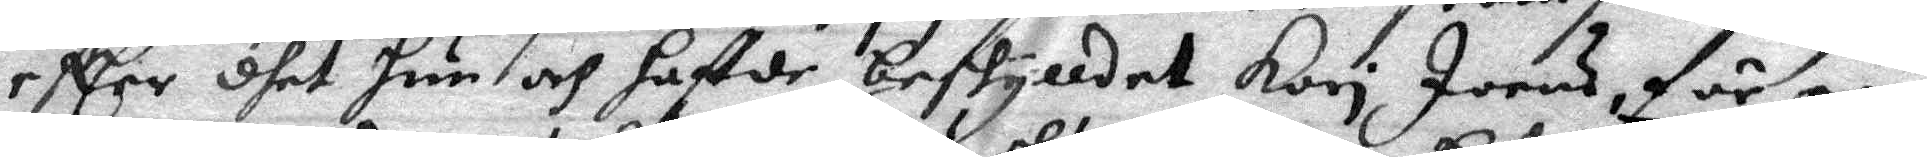effter dhet hun och haffde beskylldet Kari Joens för een
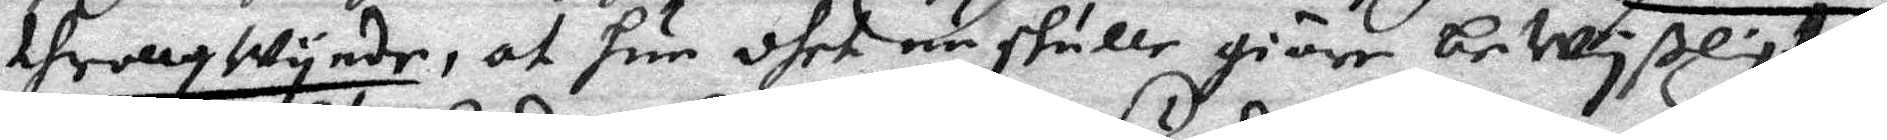throllqwynde, at hun dhet nu skulle giöre beWyßligt,
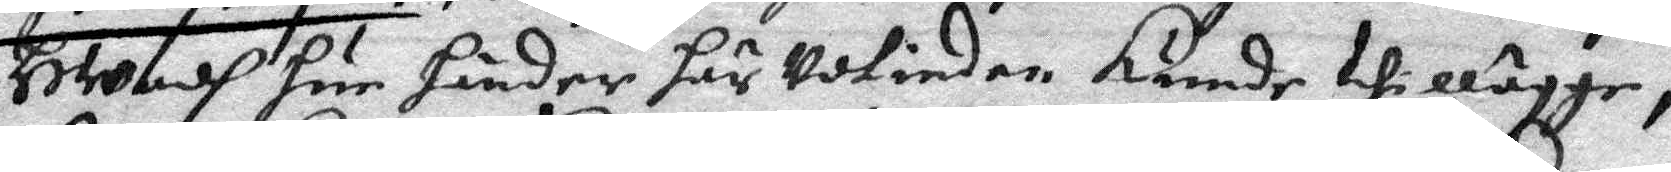HWadh hun händer här Udtinden kunde thillägge,
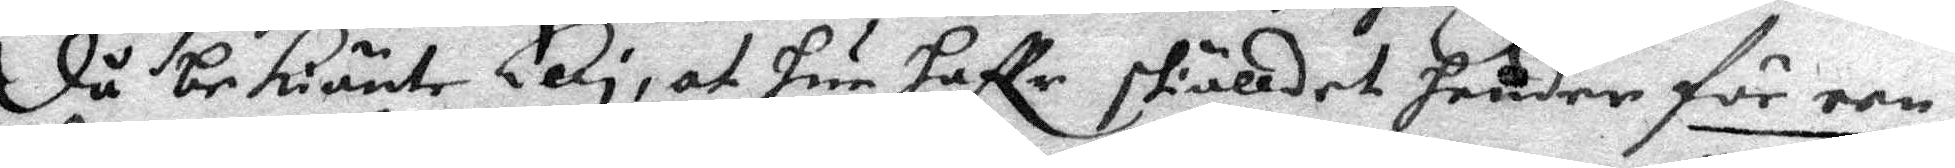Då bekänte Elli, at hun haffr skälldet hender för een
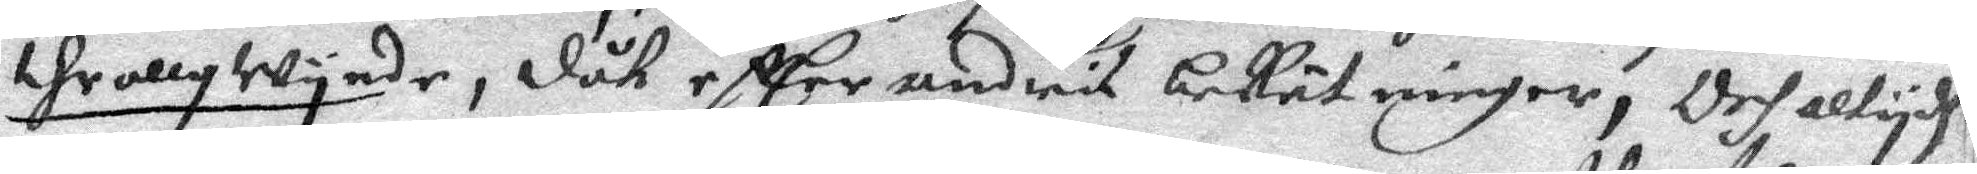throllqwynde, dåk eftter andris beRätninger, Och altydh
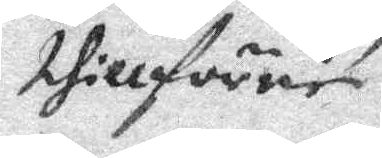thillförne
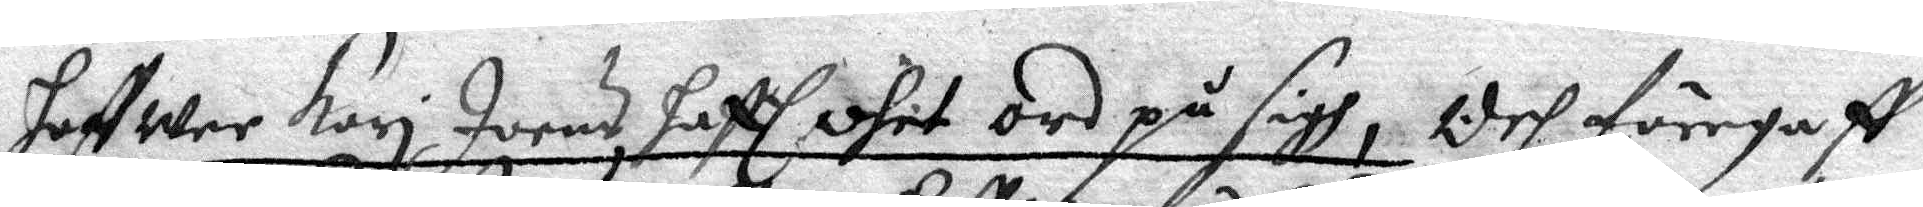haffwer Kari Joens hafft dhet ord på sigh; Och föregaff
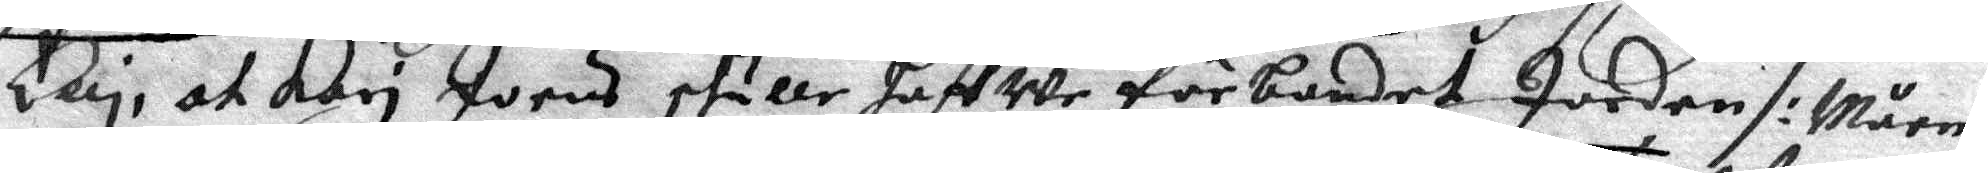Elli, at Kari Joens skulle haffwr förbandet Jorden /: Måens
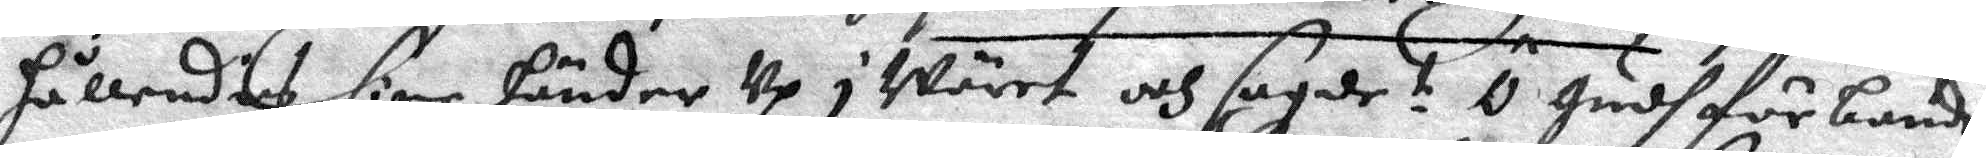hållendes sine händer Up i Wäret och sagde i Ö Gudh förbande
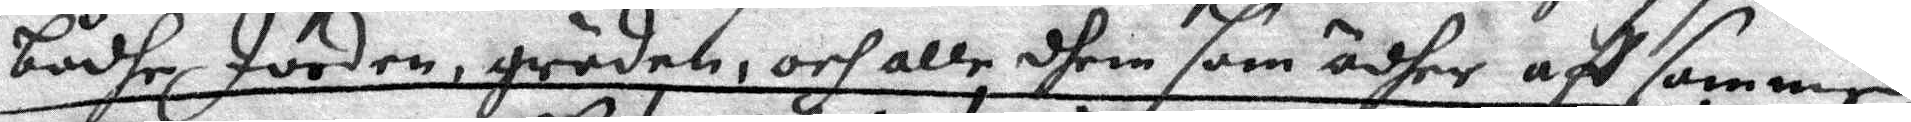bådhe Jorden, gröden, och alle dhem som ädher aff samme
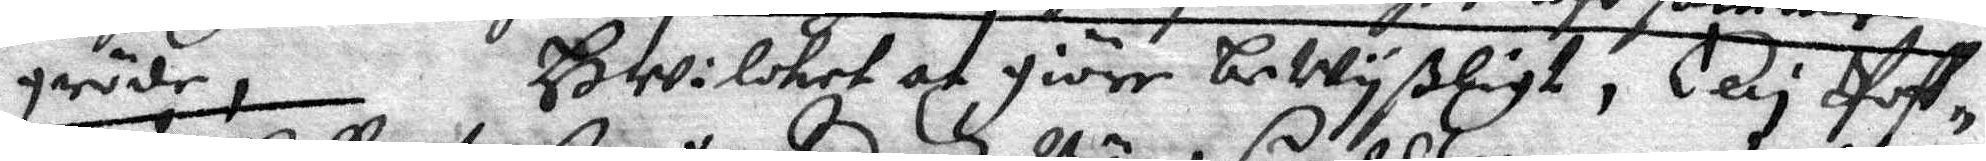gröde, Hwolcket at giöre bewyßligt, Elli Poff¬
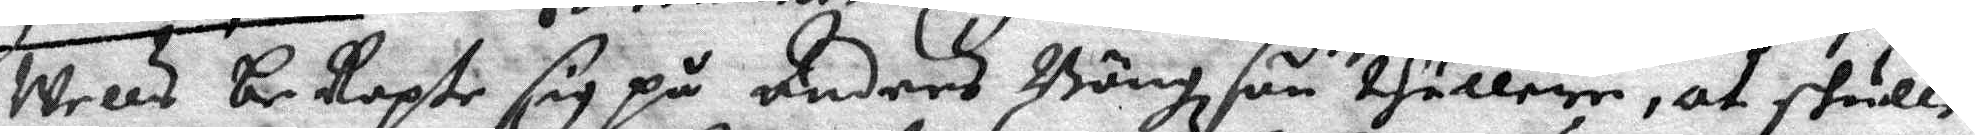Wells beRopte sig på Anders Bängzson thullere, at skulle
